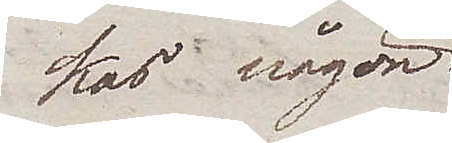kas någon
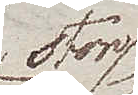stor
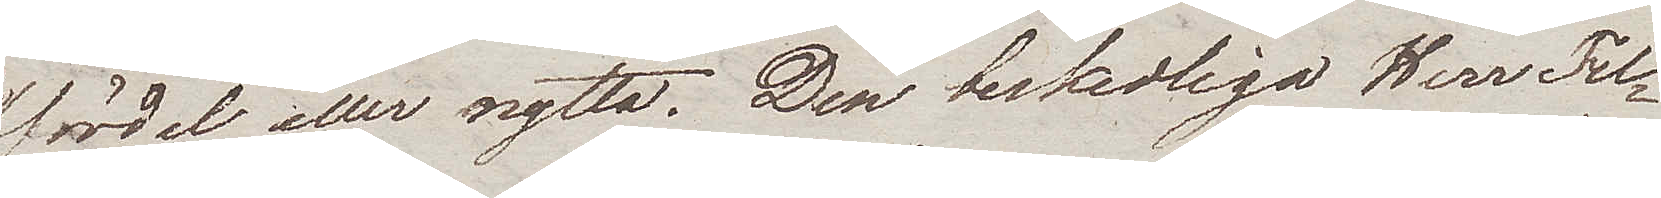fördel eller nytta. Den beskedliga Herr Fel¬
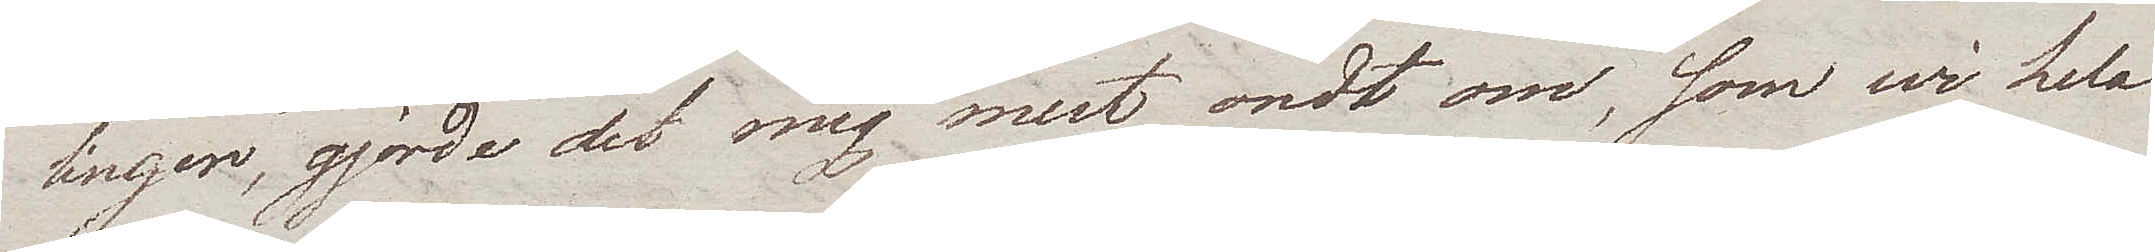linger, gjorde det mig mest ondt om, som wi hela
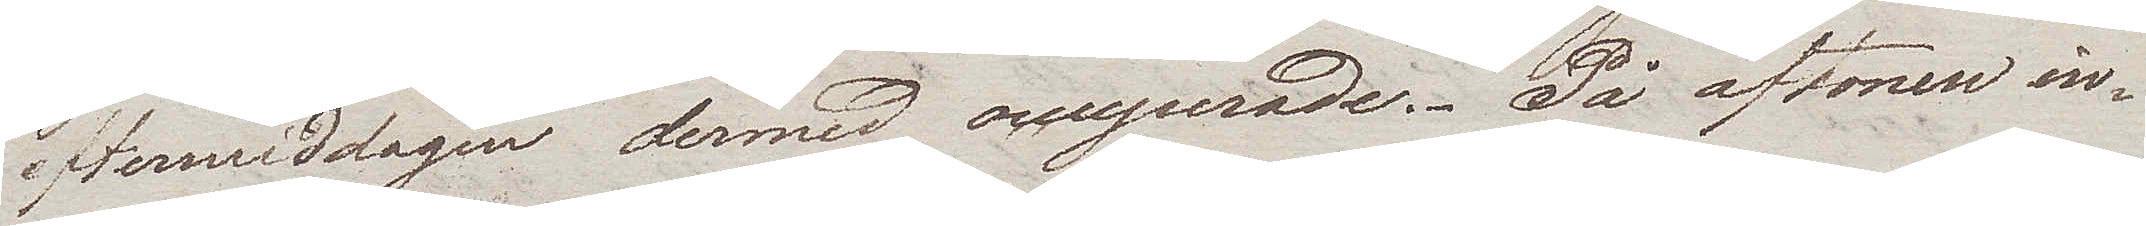eftermiddagen dermed occuperade. På aftonen in¬
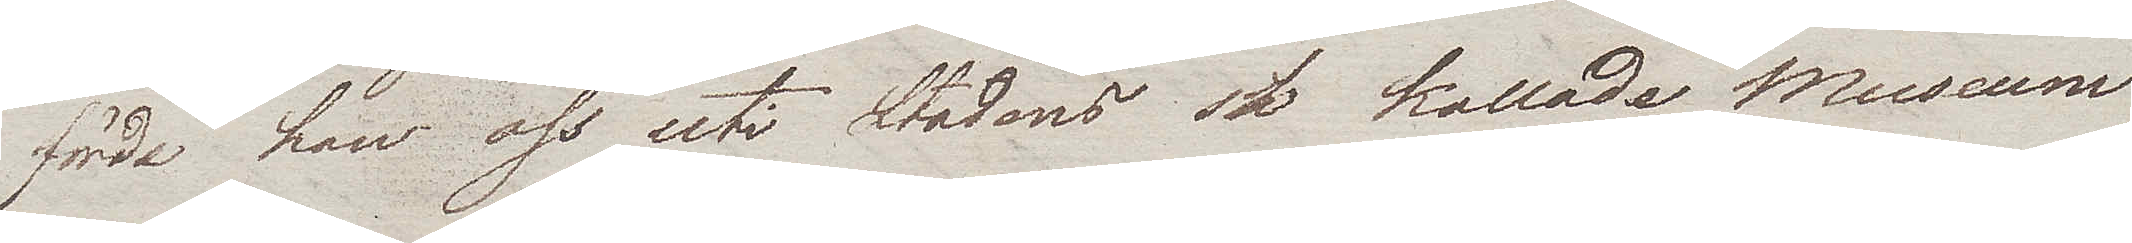förde han oss uti Stadens så kallade Museum
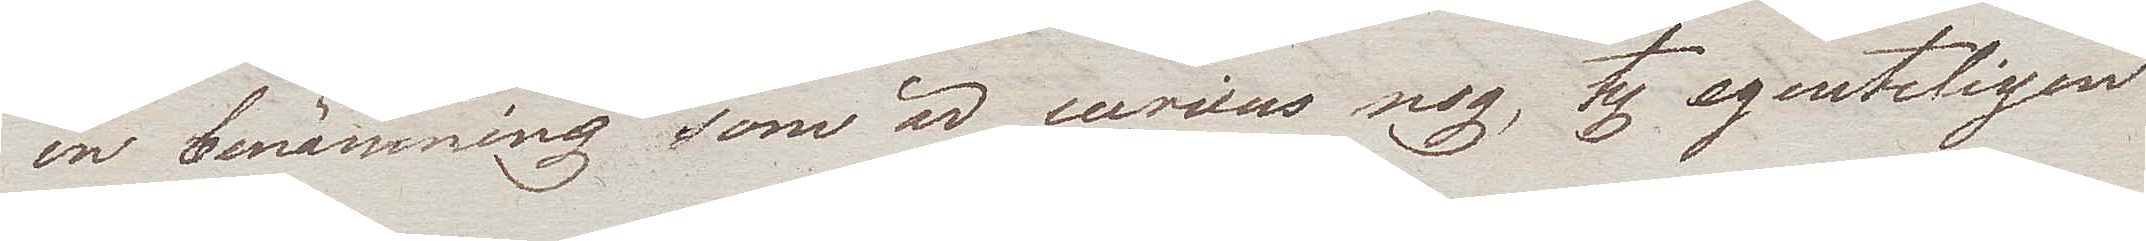en benämning som är curieus nog, ty egentligen
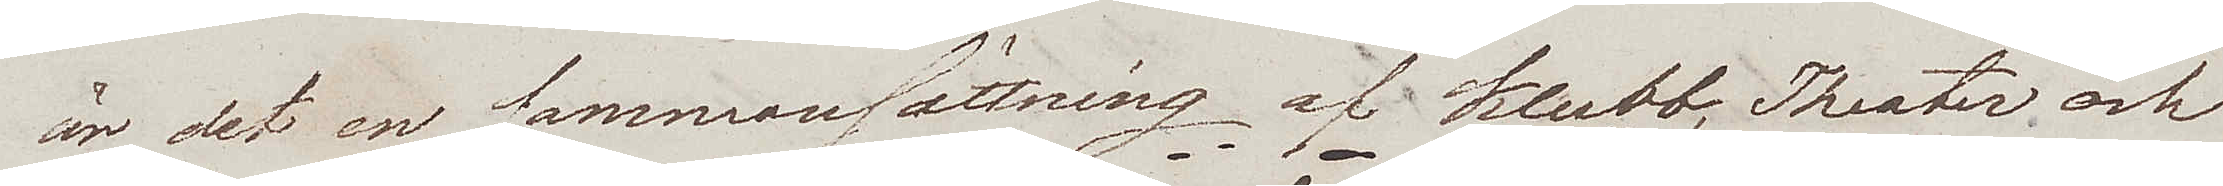är det en sammansättning af klubb, Theater och
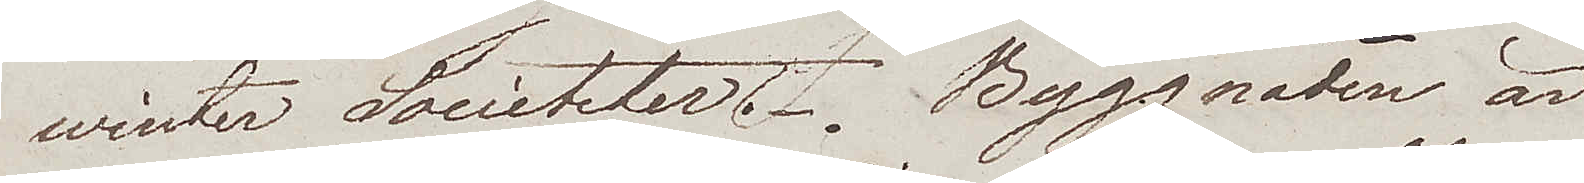winter Societeter. Byggnaden är
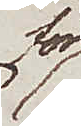för
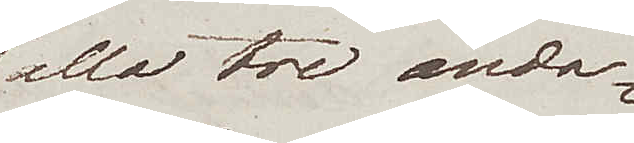alla tre ända¬
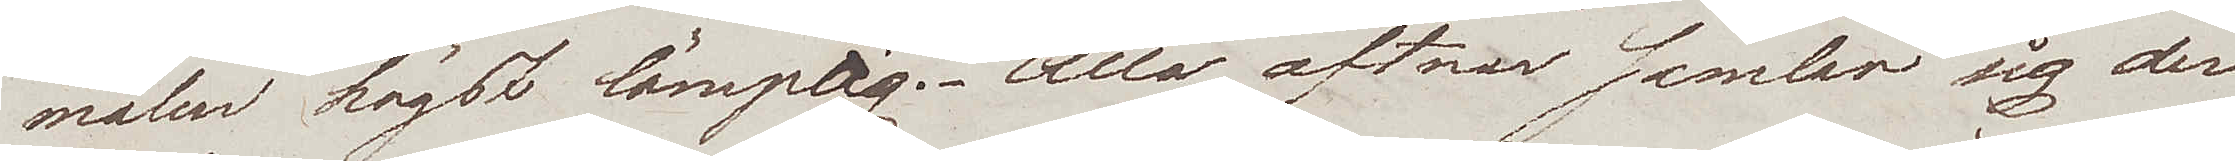målen högst lämplig. Alla aftnar samlar sig der
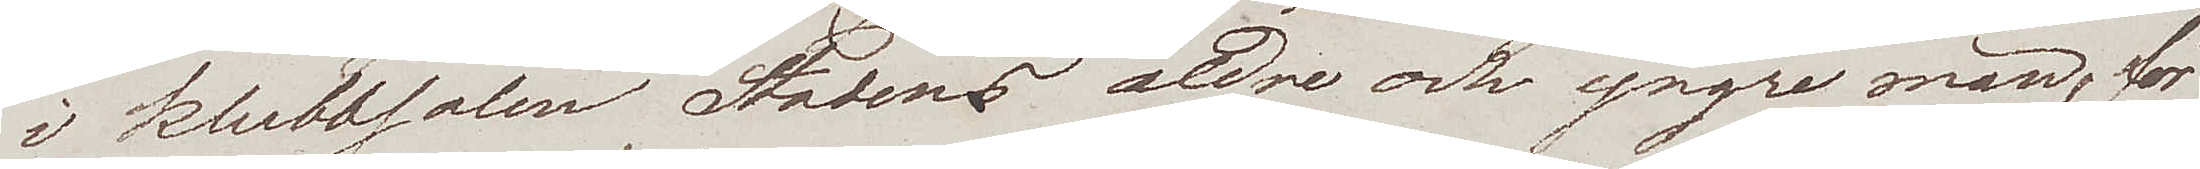i klubbsalen Stadens äldre och yngre män, för
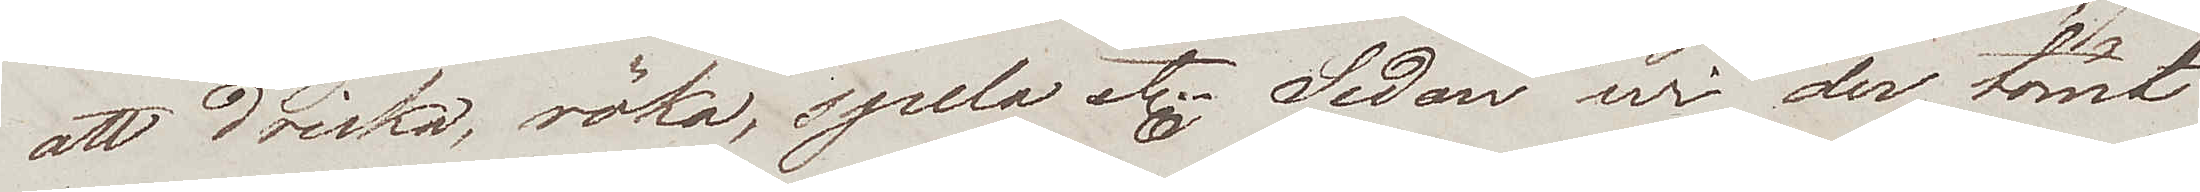att dricka, röka, spela etc. Sedan wi der tömt
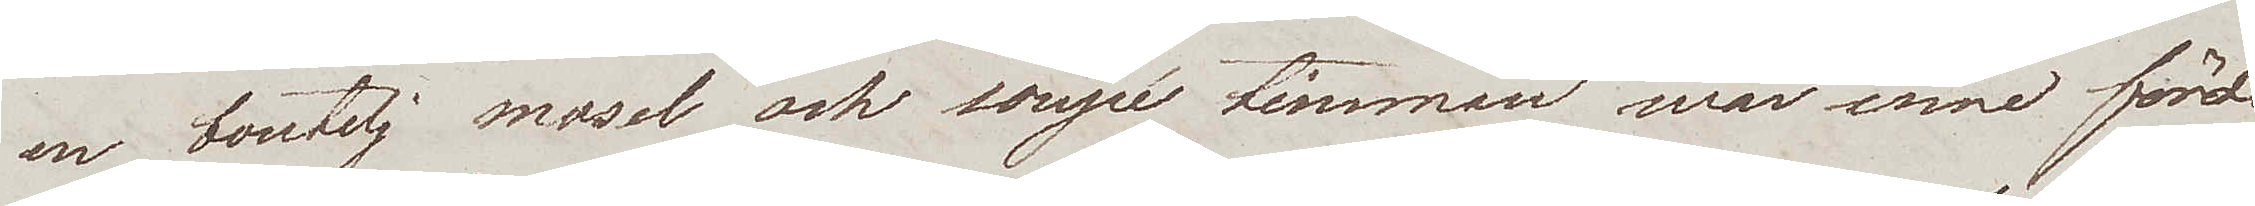en boutelj mosel och soupé timman war inne förde
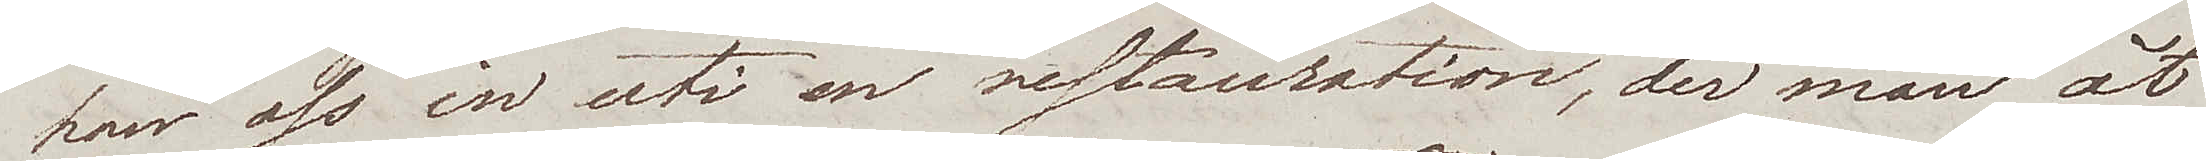han oss in uti en restauration, der man åt
